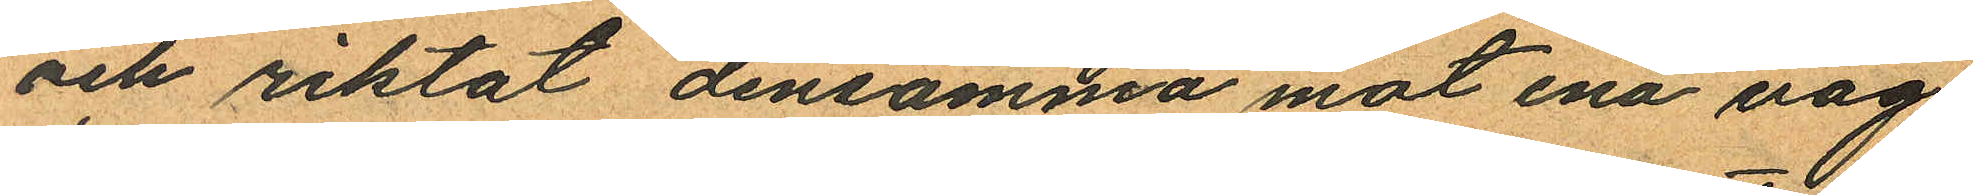och riktat densamma mot ena väg
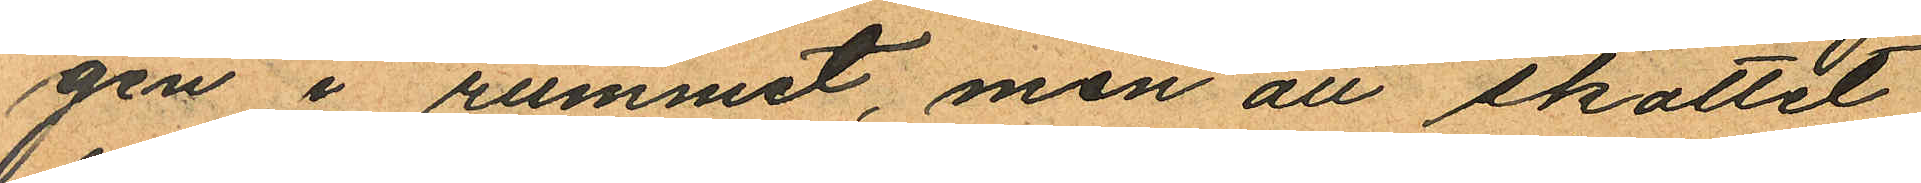gen i rummet, men att skottet
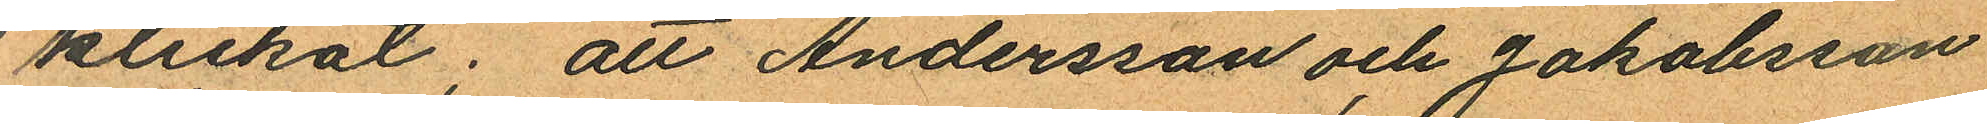klickat; att Andersson och Jakobsson
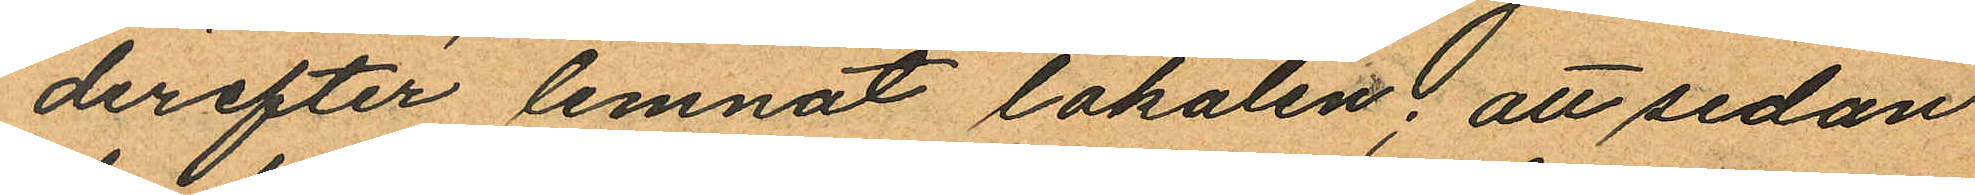derefter lemnat lokalen; att sedan
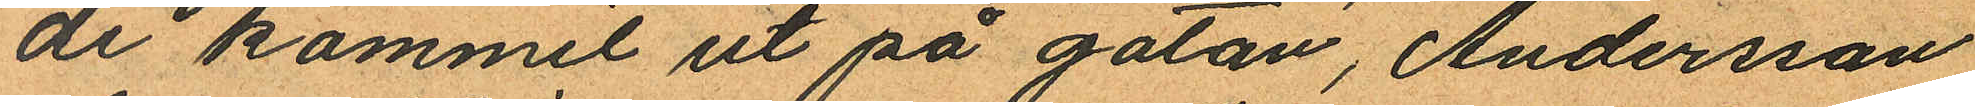de kommit ut på gatan, Andersson
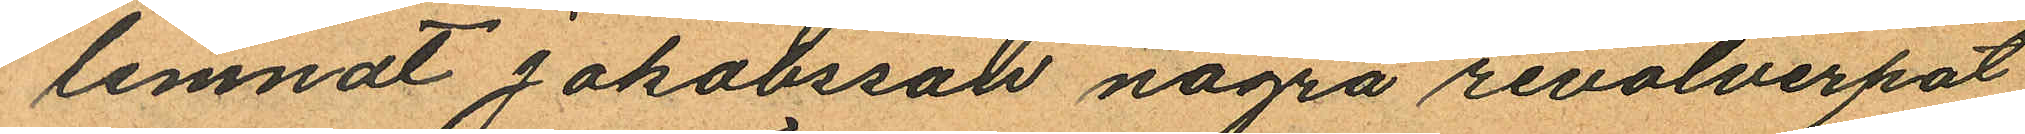lemnat Jakobsson några revolverpat¬
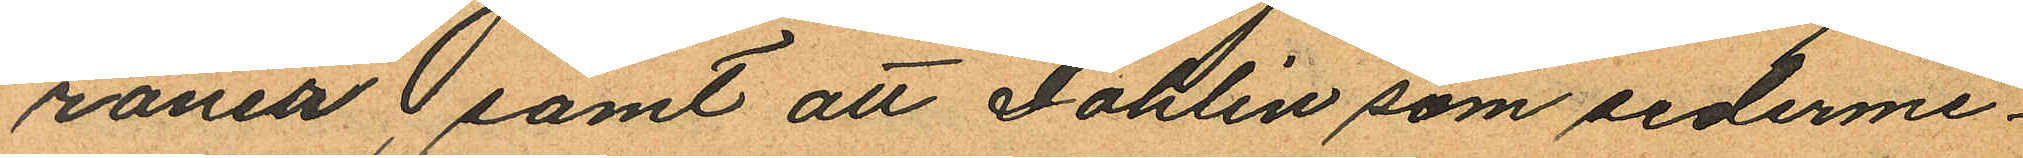roner samt att Dahlin som sederme¬
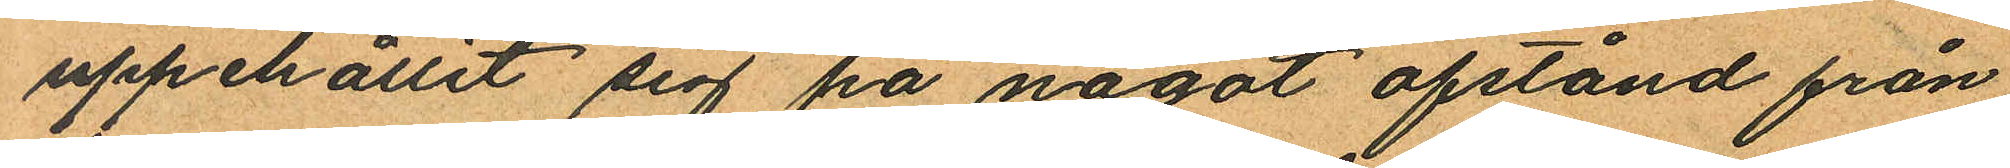uppehållit sig på något afstånd från
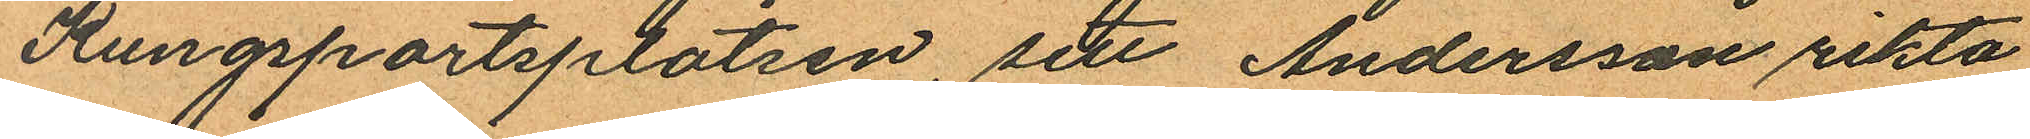Kungsportsplatsen, sett Andersson rikta
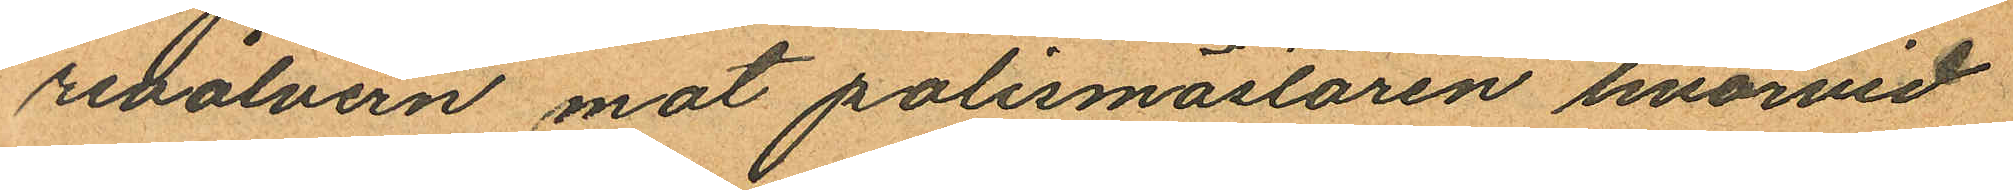revolvern mot polismästaren hvarvid
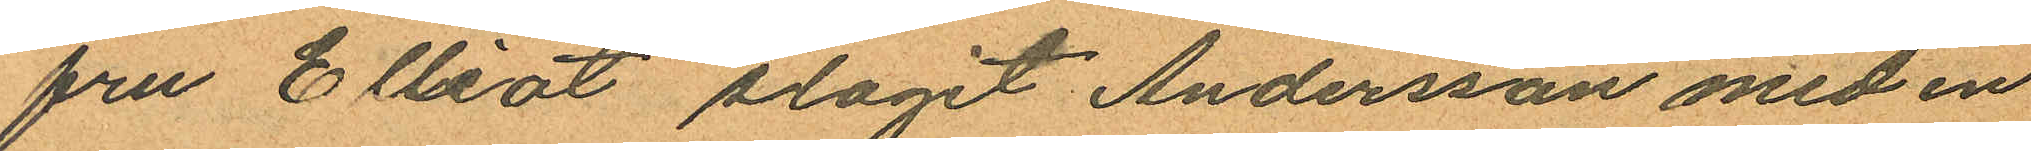fru Elliot slagit Andersson med en
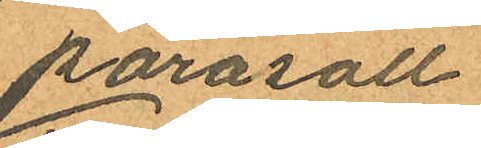parasoll.
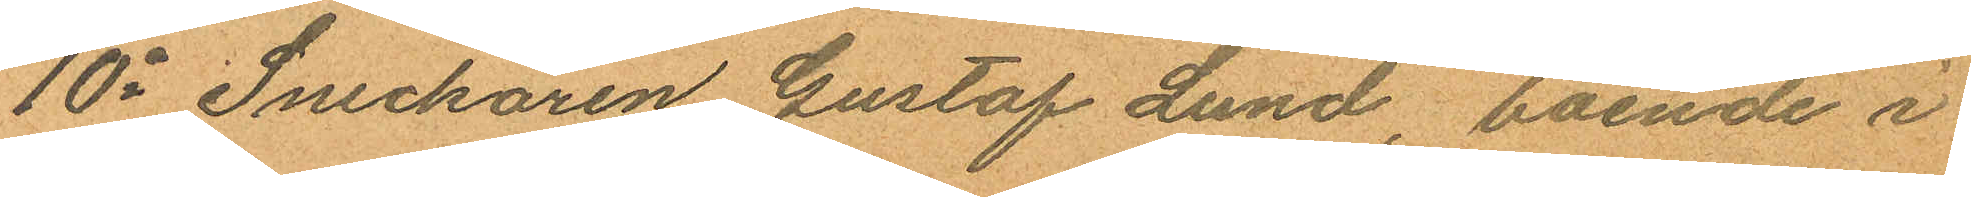10o Snickaren Gustaf Lund, boende i
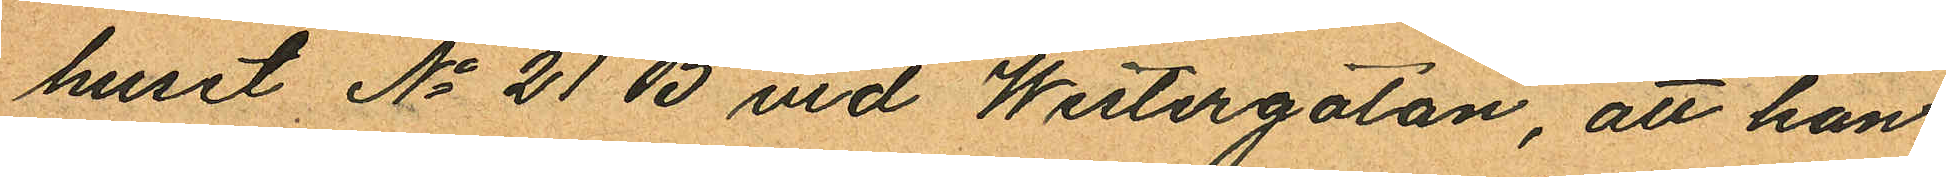huset No 21 B vid Westergatan, att han
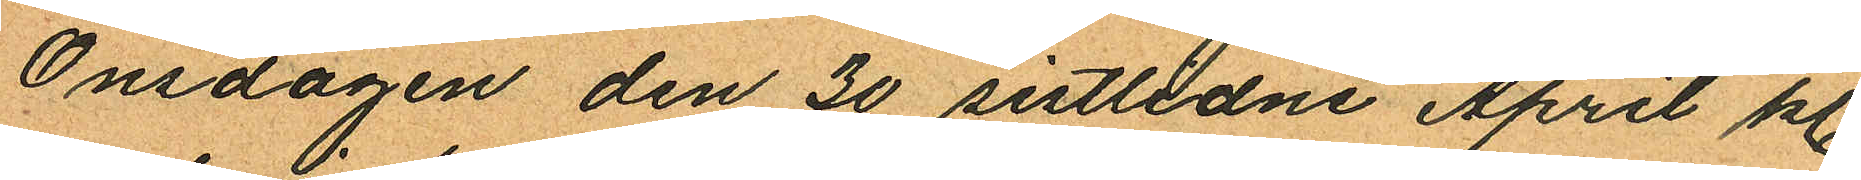Onsdagen den 30 sistlidne April kl.
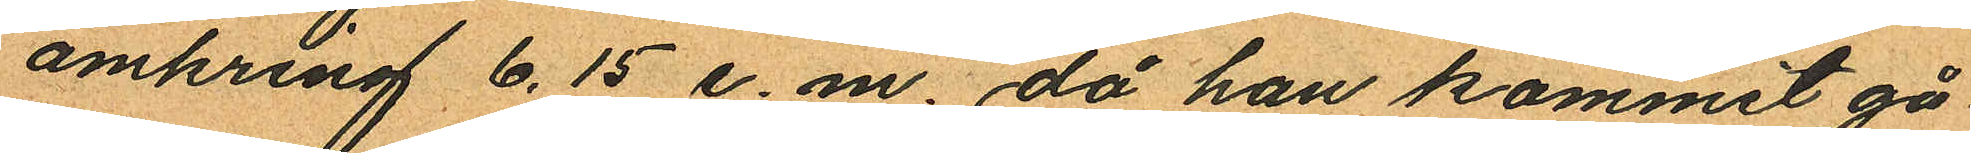omkring 6.15 e. m. då han kommit gå
